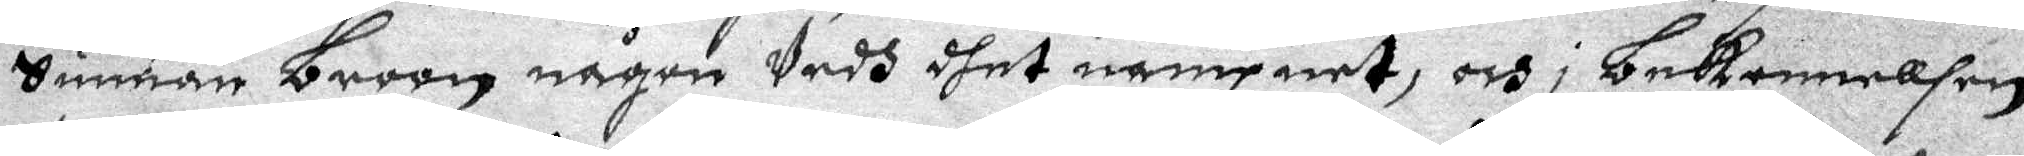Sunnan Broon någon vedh dhet nampnet, och i Bekennellsen
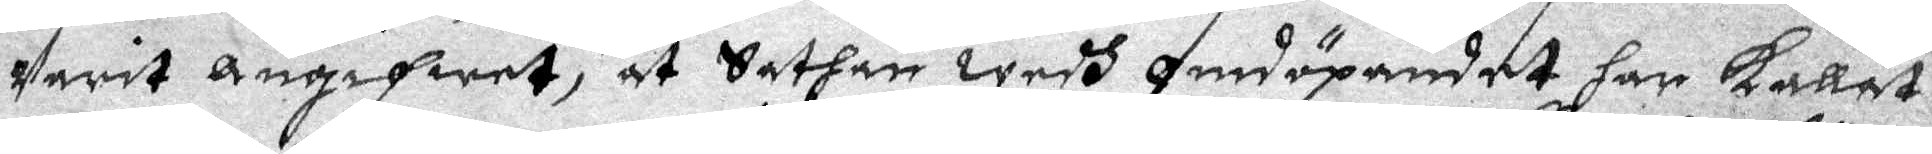varit angifwet, at Sathan wedh omdöpandet har Kallat
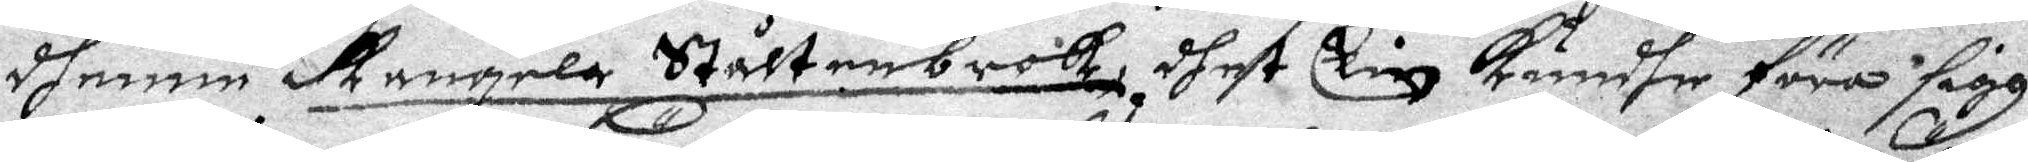dhenne Rangela Ståltenbrok, dhet Elin kundhe föra sigh
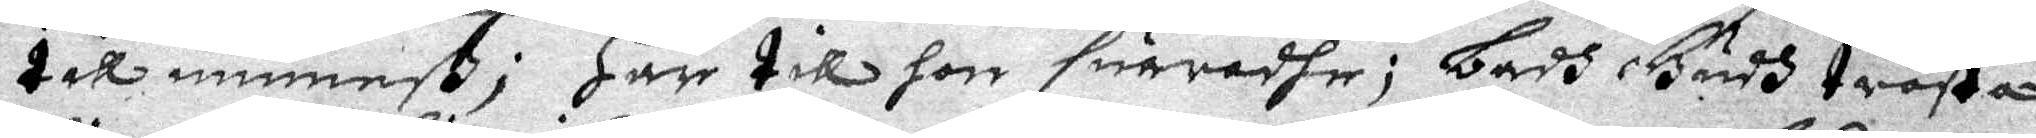till minneß; Här till hon suaradje; Badh Gudh trösta
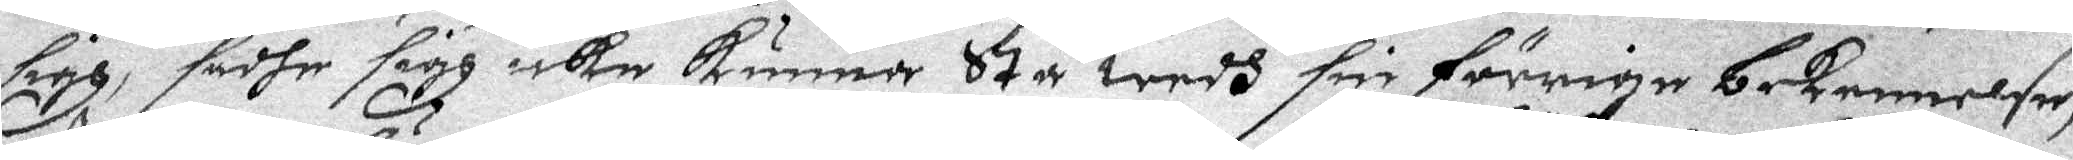sigh, sadhe sigh icke Kunna stå wedh sin förrige bekennelse,
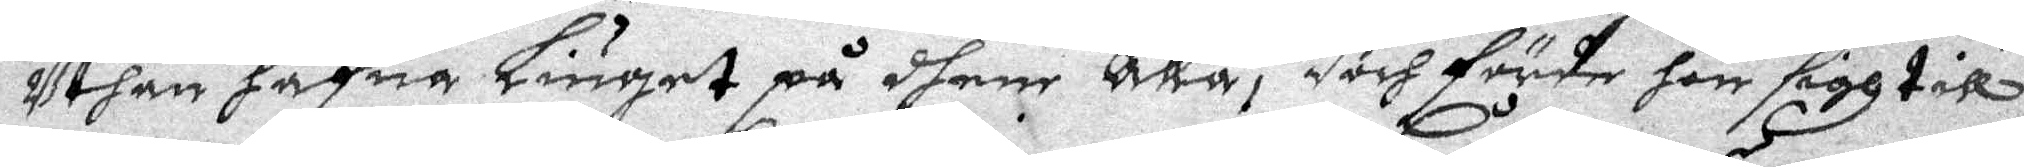uthan hafua Liuget på dhem Alla, doch förde hon sigh till
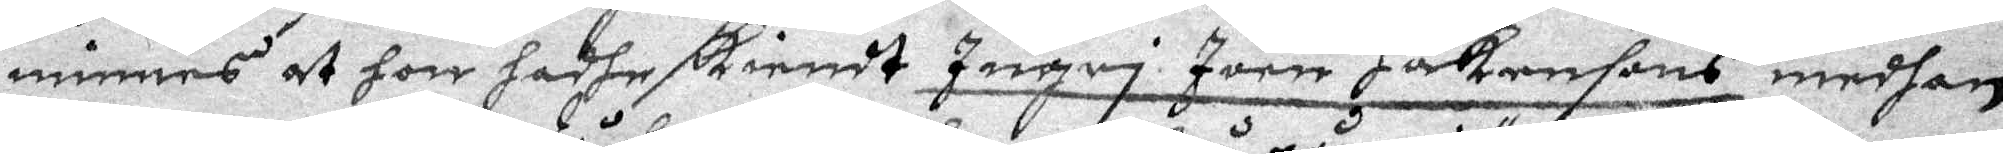minnes at hon hadhe Kiendt Ingei Joen Håkansons medhan
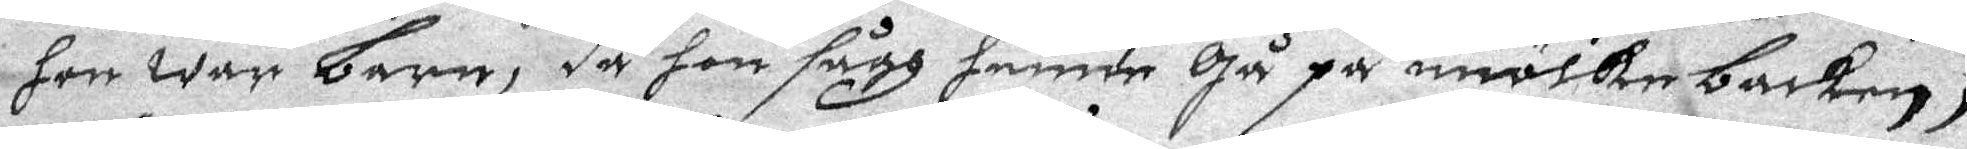hon war Barn, då hon sågh henne Gå på miölkeBacken,
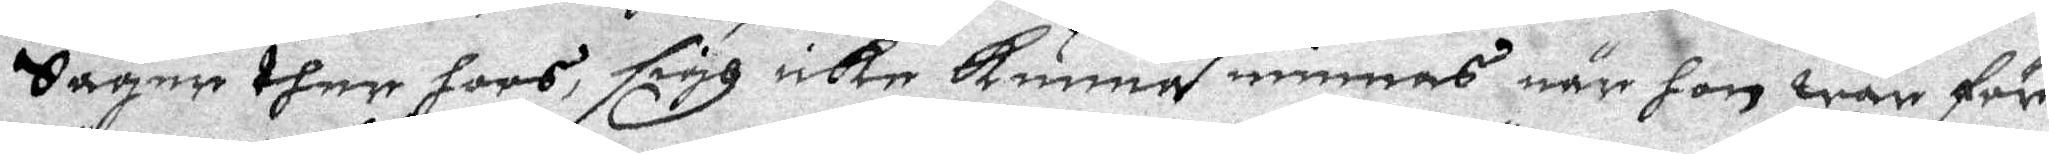Säger then hoos sigh icke kunna minnas när hon war för
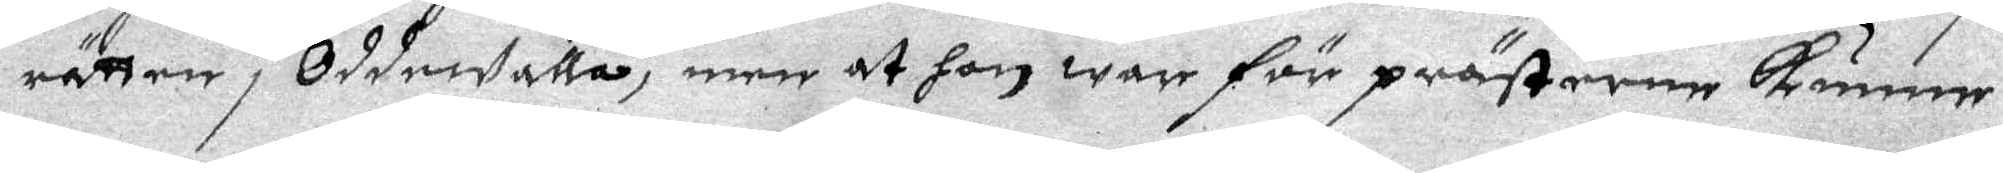rätten i OddeWalla, men at hon war för prästerne Kunna
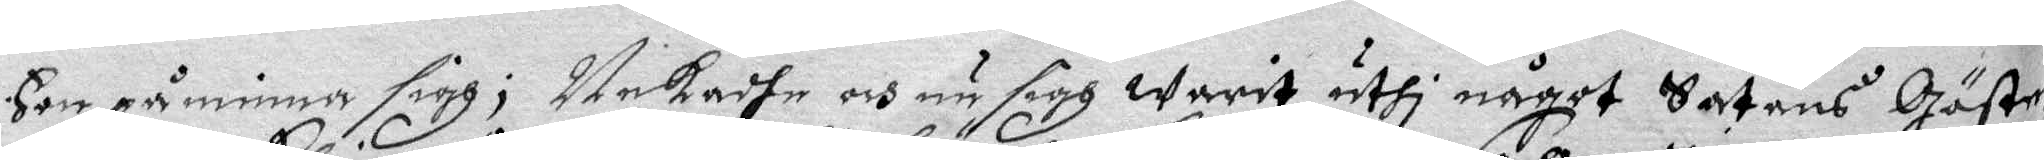Hon påminna sigh; Nekadhe och nu sigh Warit uthi något Satans Gäste¬
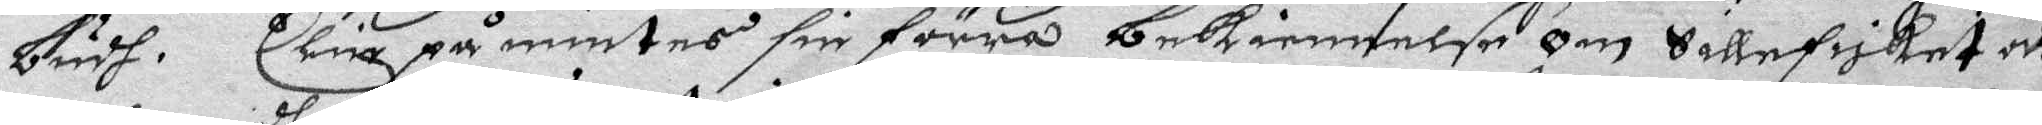budh. Elin påmintes sin förra bekiennelse om Sillefriket och
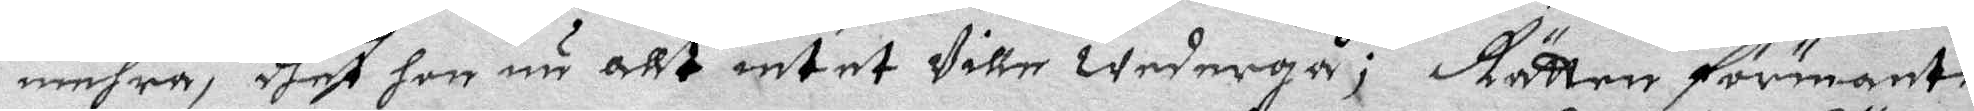mehra, dhet hon nu allt intet wille wedergå; Rätten förmante
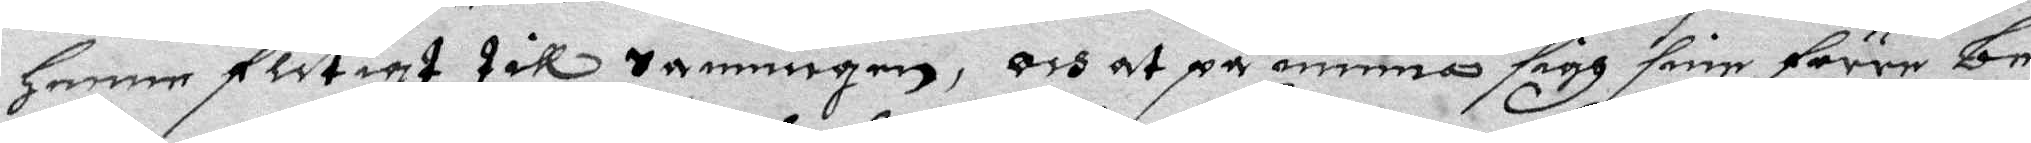henne flitigt till sanningen, och at påminna sigh sine förre Be¬
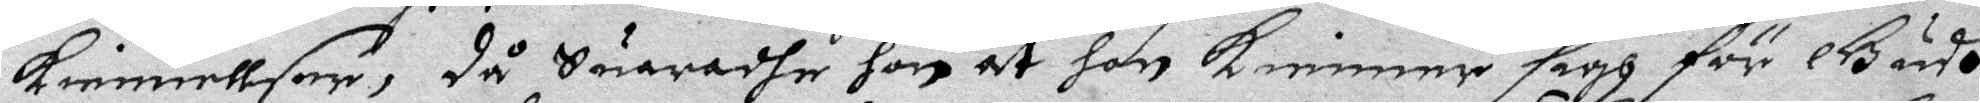kiennellser, då Suaradhe hon at hon kienner sigh för Gudh
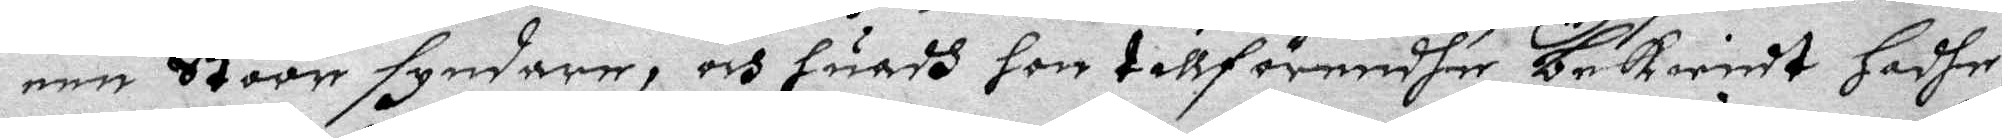een Stoor syndare, och huadh hon tillförendhe bekiendt hadhe,
